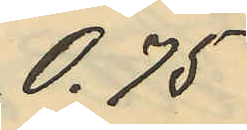 0,75
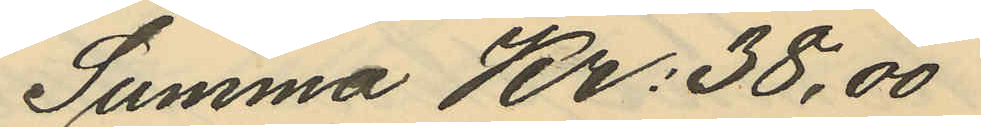Summa Kr: 38,00
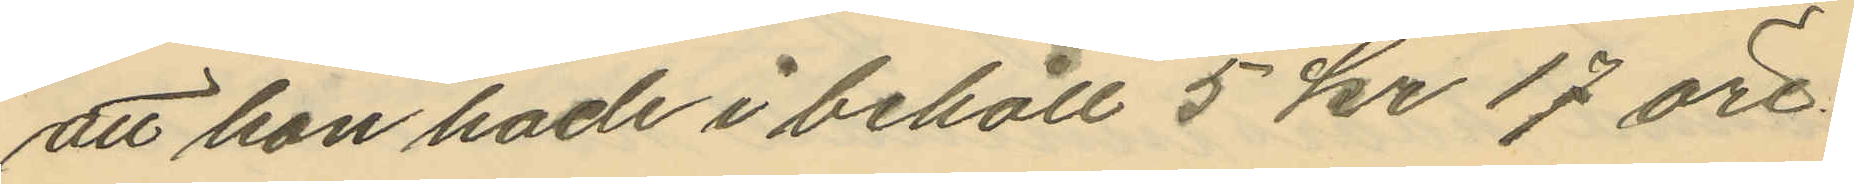att hon hade i behåll 5 kr 17 öre.
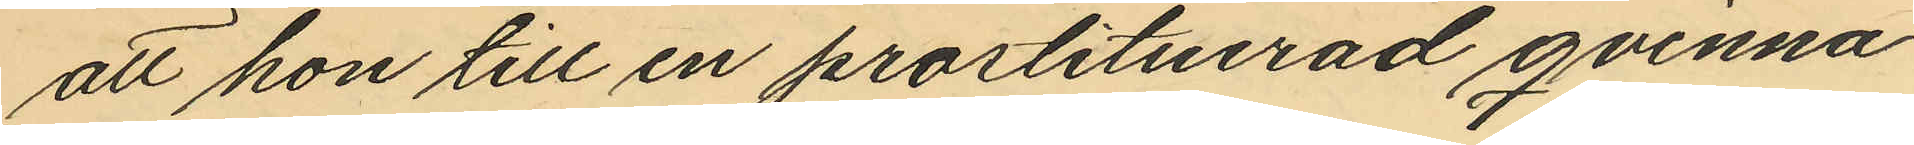att hon till en prostituerad qvinna
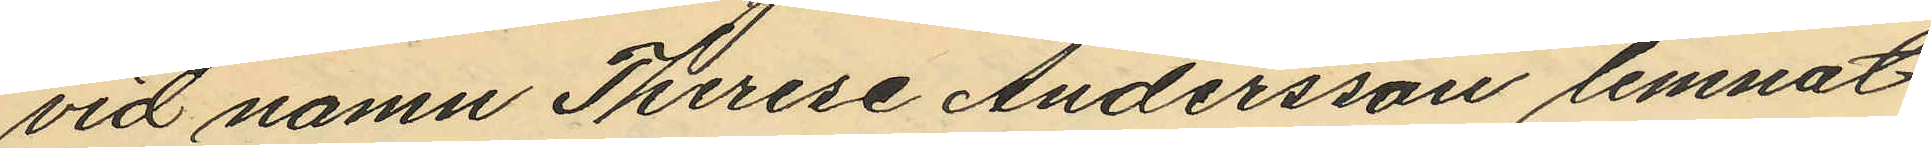vid namn Therese Andersson lemnat
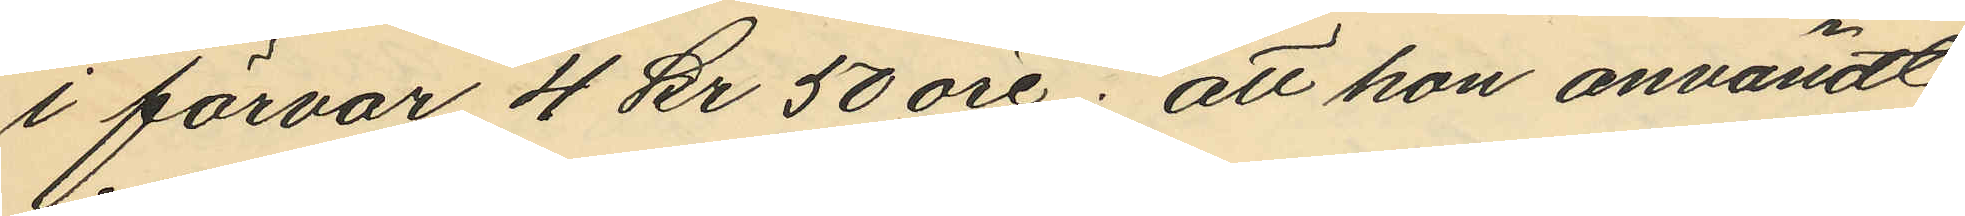i förvar 4 kr 50 öre; att hon användt
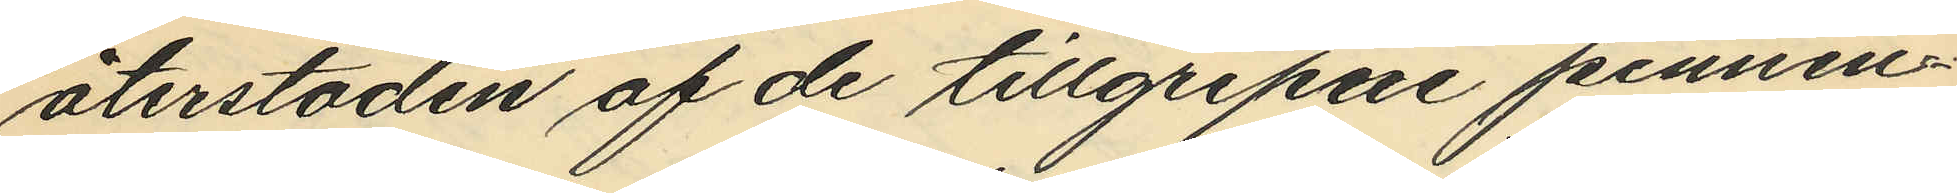återstoden af de tillgripne pennin¬
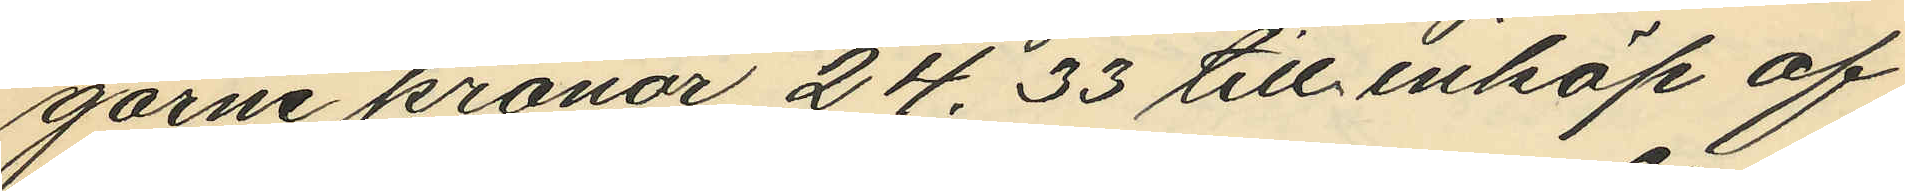garne kronor 24.33 till inköp af
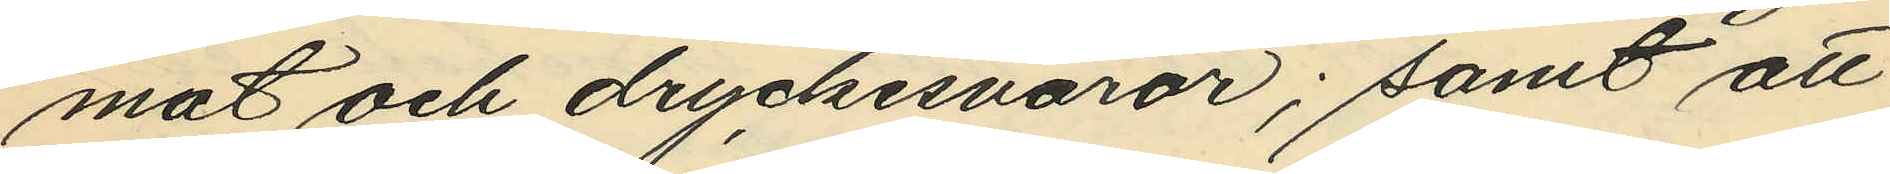mat och dryckesvaror; samt att
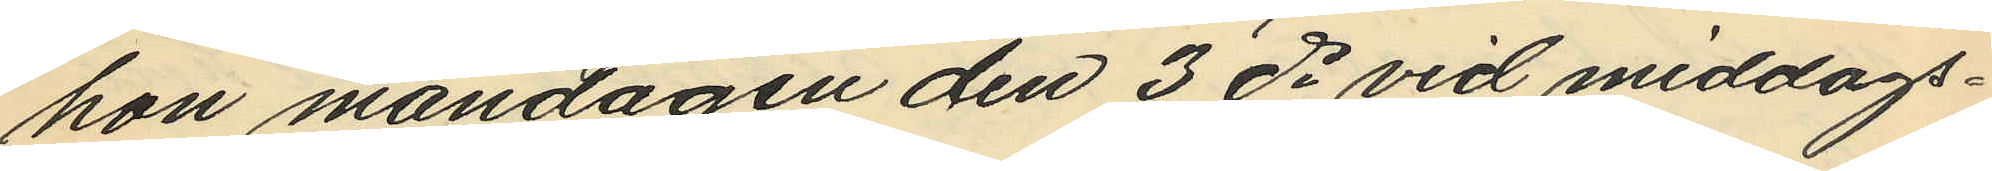hon måndagen den 3 ds vid middag¬
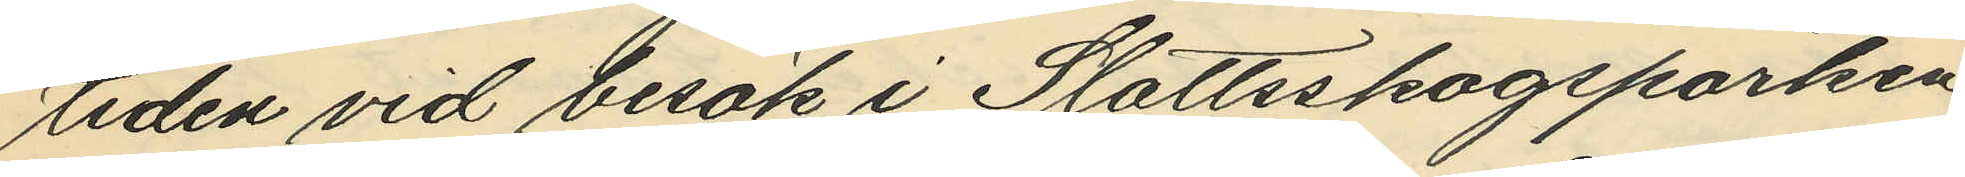tiden vid besök i Slottsskogsparken
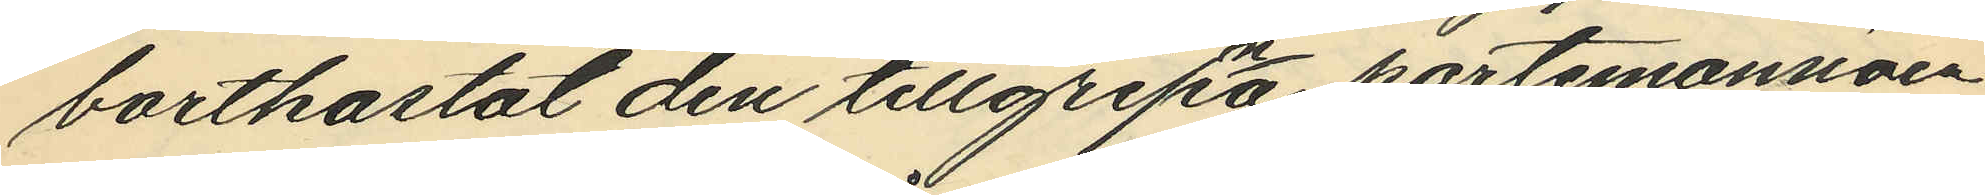bortkastat den tillgripna portmonnäen
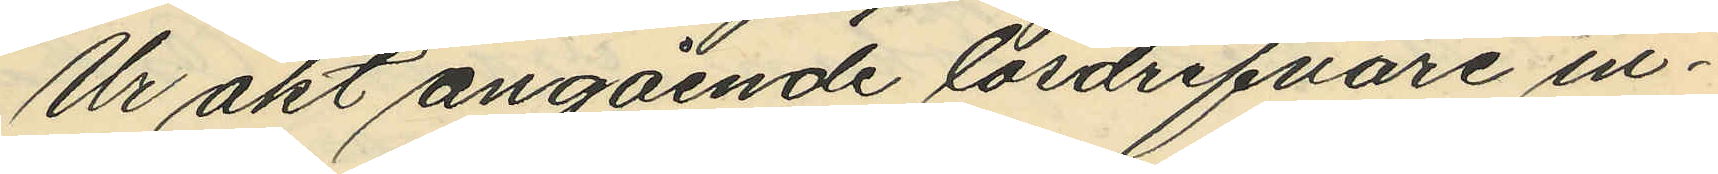Ur akt angående lösdrifvare in¬
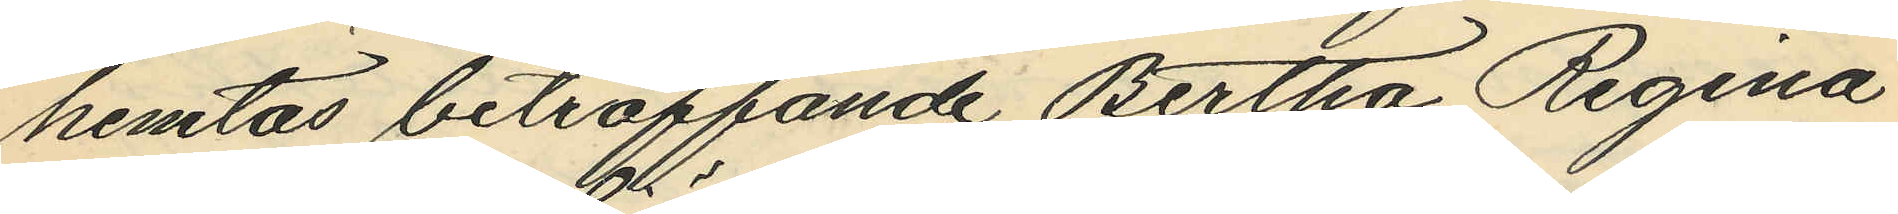hemtas beträffande Bertha Regina
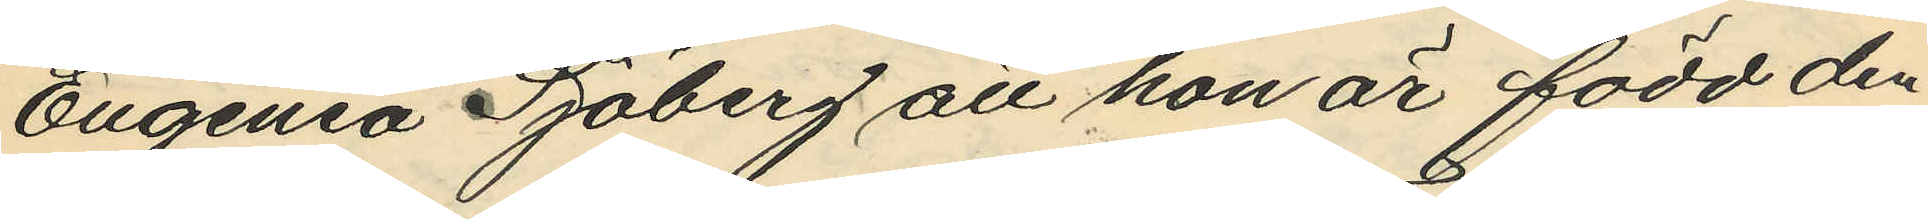Eugenia Sjöberg att hon är född den
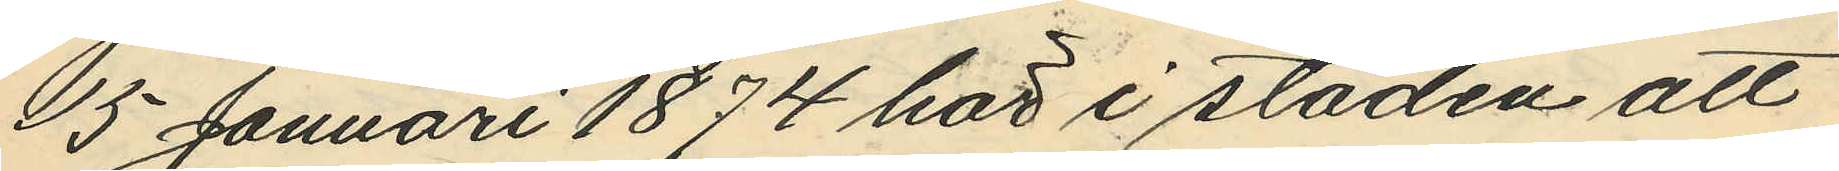15 Januari 1874 här i staden att
